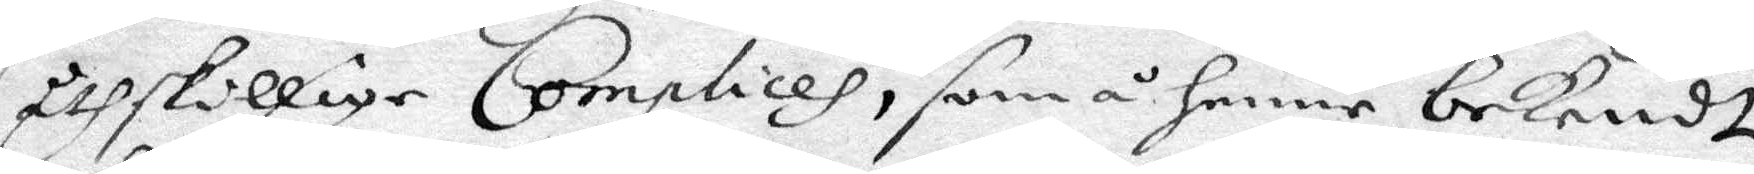åthskillige Complices, som å henne bekendt
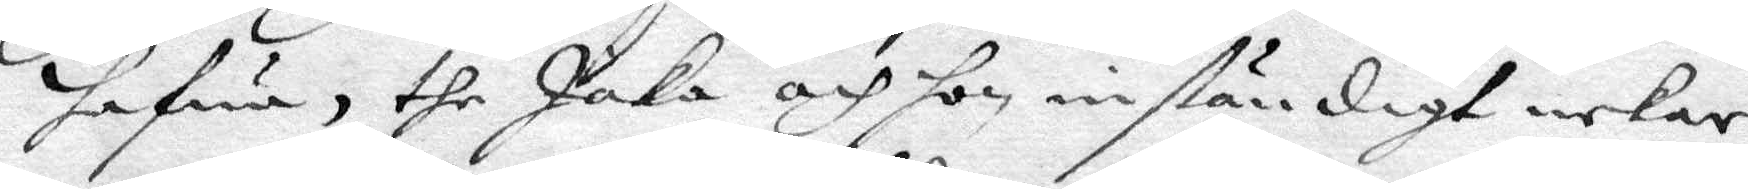hafwa, the Jaka och hon inständigt nekar,
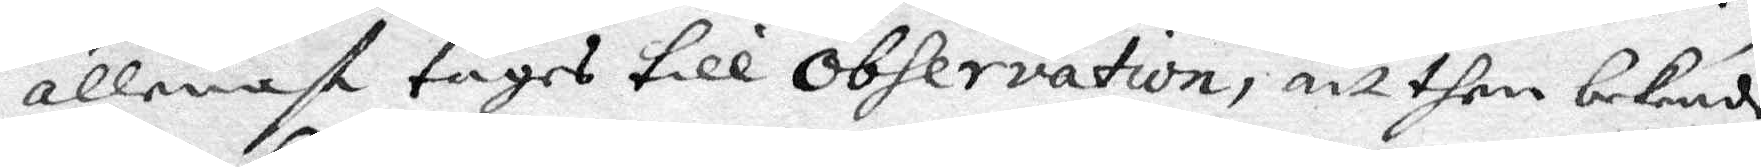allenast tages till Observation, att then bekende
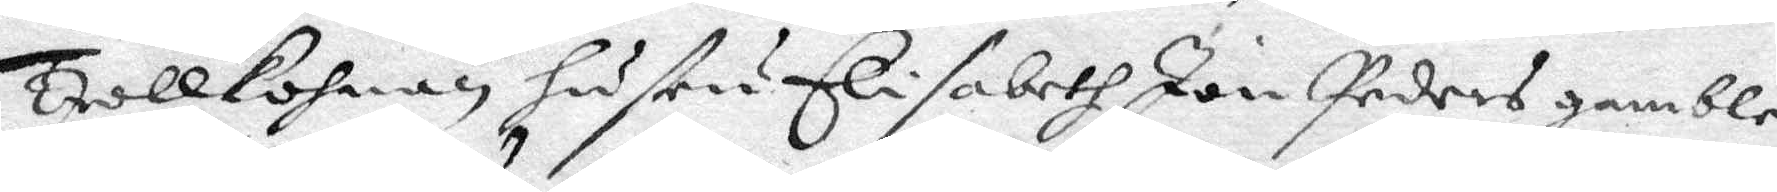Ytollkohnan hustru Elisabeth Jan Peders gamble
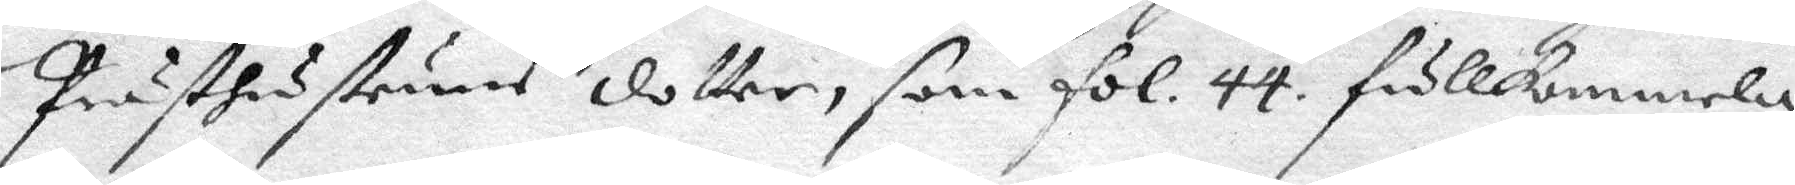Prästhustrun dotter, som fol. 44, fullkommelig
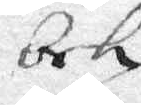bek
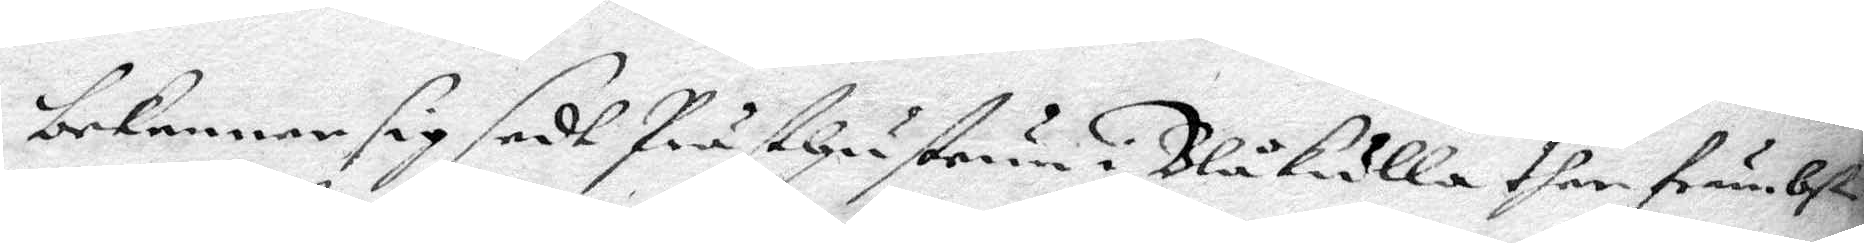bekenner sig sedt Prästhustrun i Blåkulla ther främbst
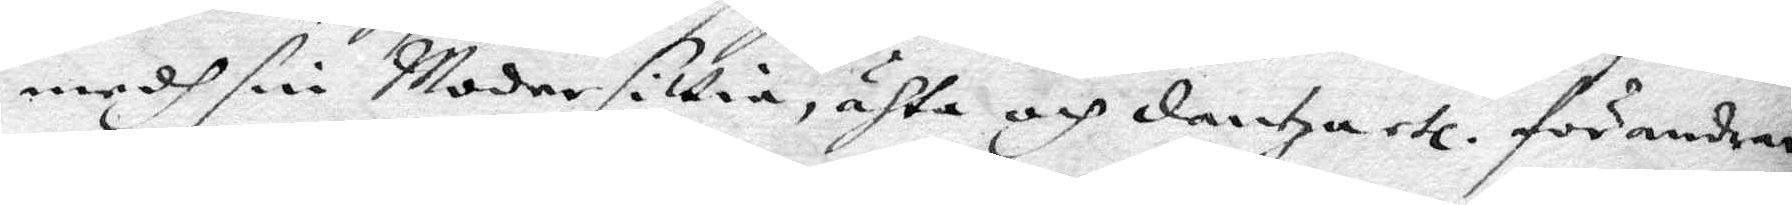medh sin Moder sittia, ähta och dantza etc. förandrar
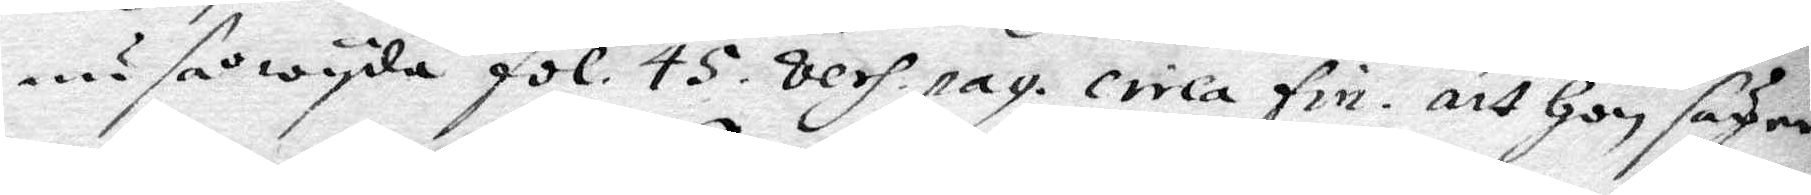nu så wyda fol. 45. vers.pag. crila fin. att hon säger
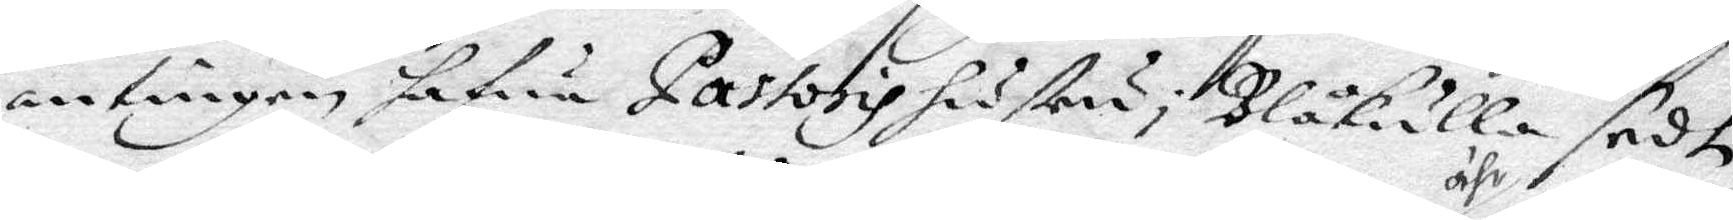antingen hafwa Pastoris hustru i Blåkulla sedt
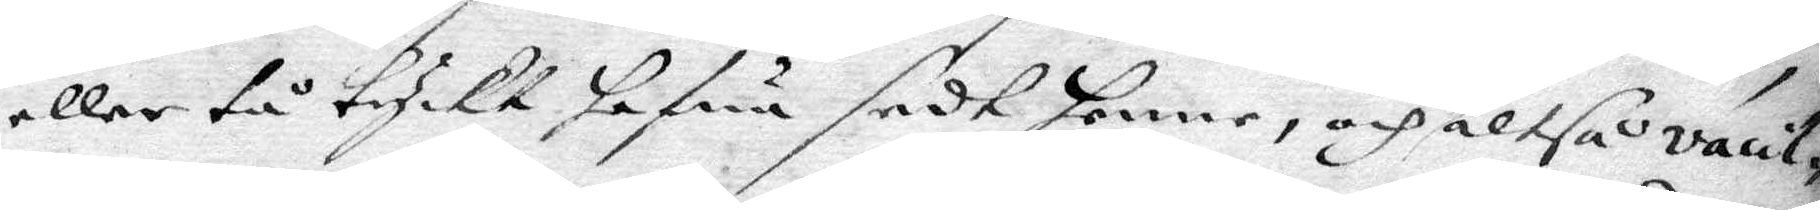eller tå tyckt hafua sedt henne, och ähr altså vacil¬
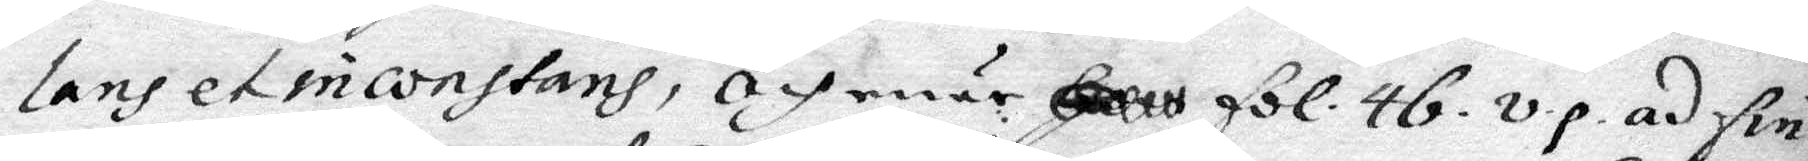lans et inonstanh, och när fol. 46. v.p. ad fin.
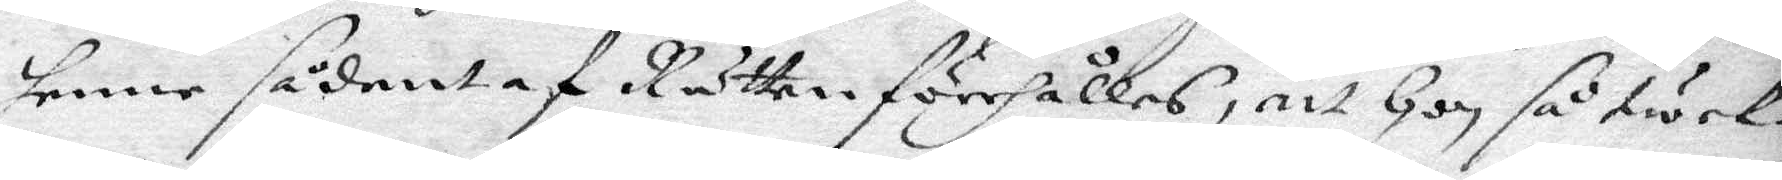henne sådant af Rätten förhålles, att hon så twek¬
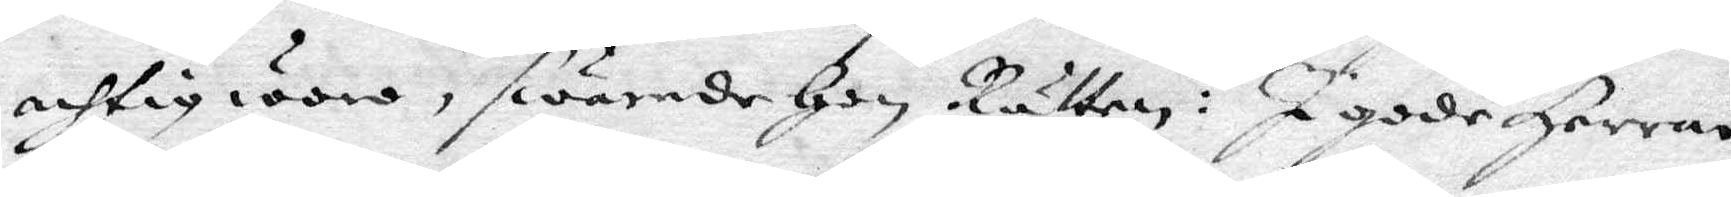achtig woro, swärede hon Rätten, : I gode Herrar
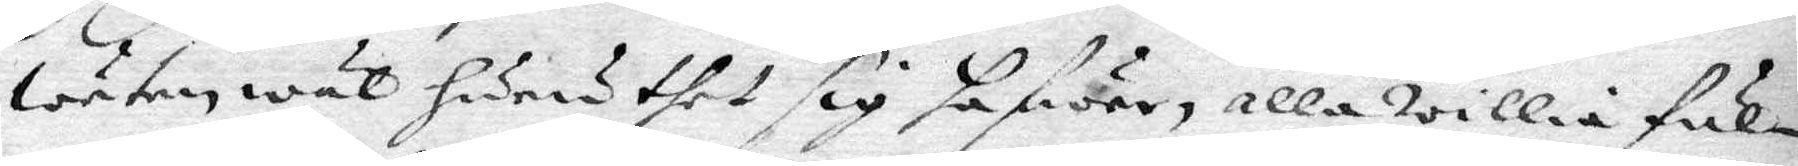weta wl huru thet sig hafwer, alla willie ful¬
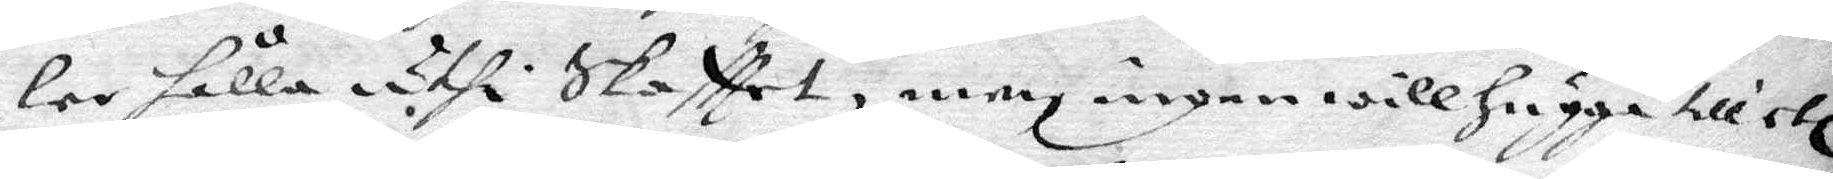ler hålla uthi Skafttet, men ingen will hugga till etc.
